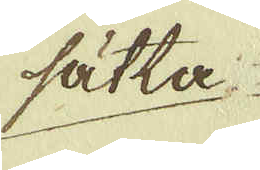sätta
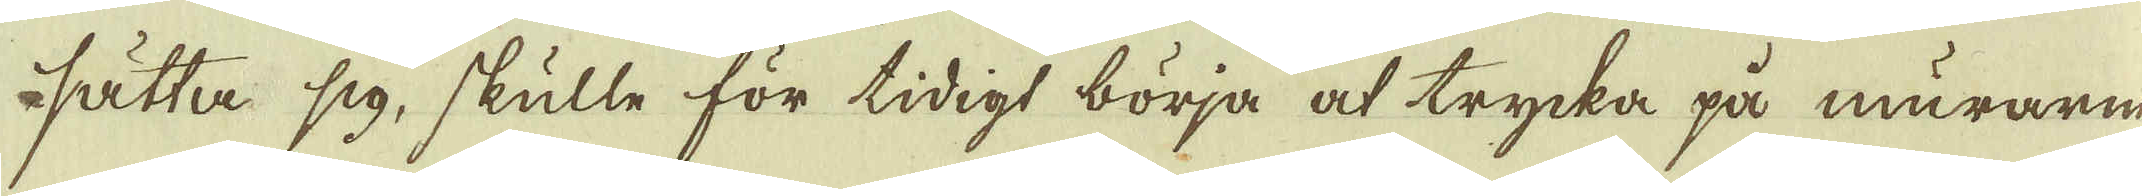sätta sig, skulle för tidigt börja at trycka på murarna
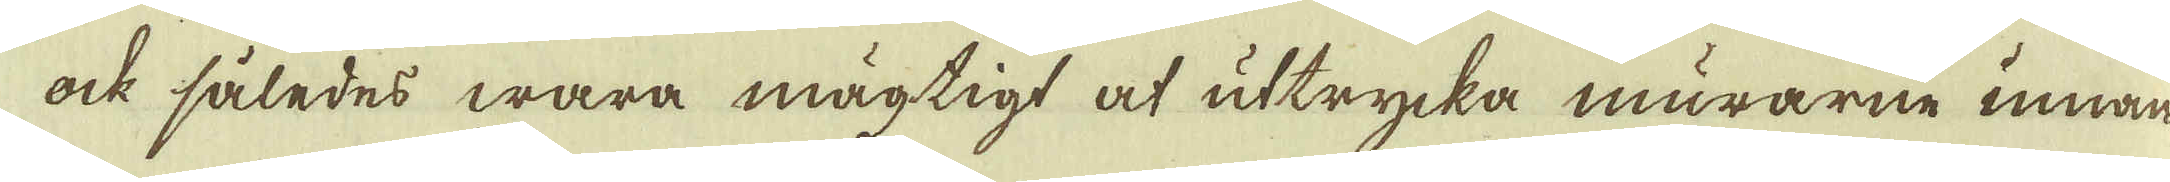ock således wara mägtigt at uttrycka murarne innan
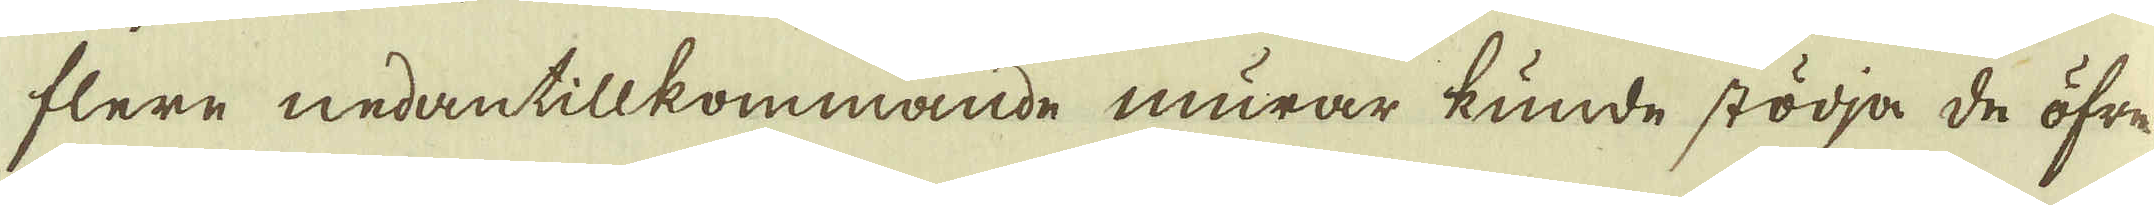flere nedantillkommande murar kunde stödja de öfre.
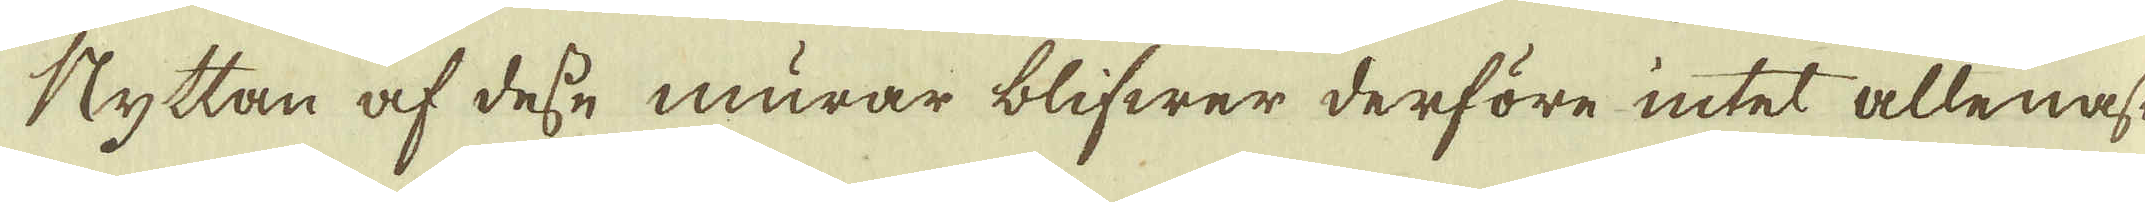Nyttan af dess murar blifwer derföre intet allenast
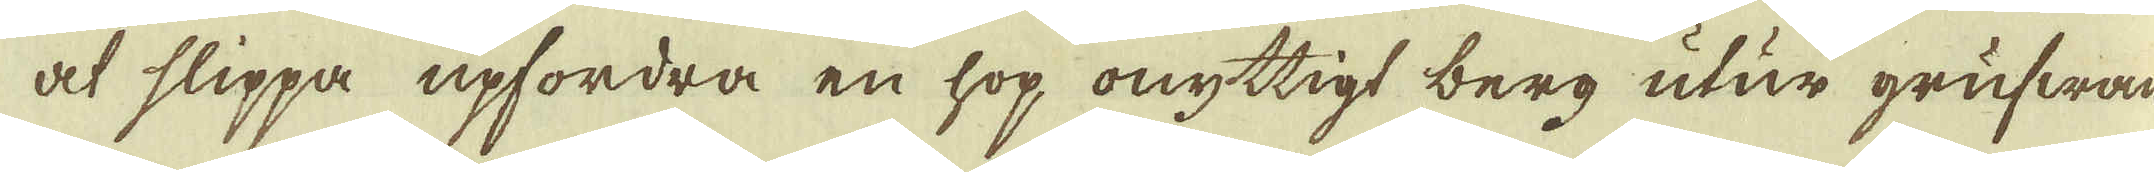at slippa upfordra en hop onyttigt berg utur grufwan,
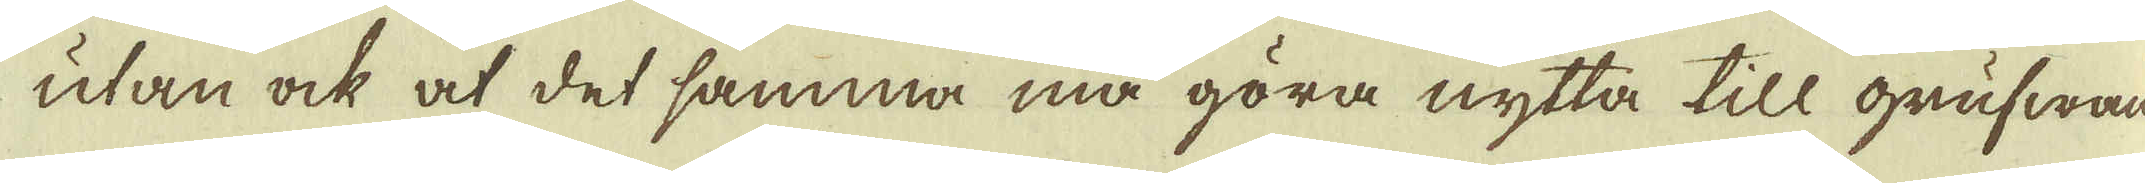utan ock at det samma må göra nytta till grufwans
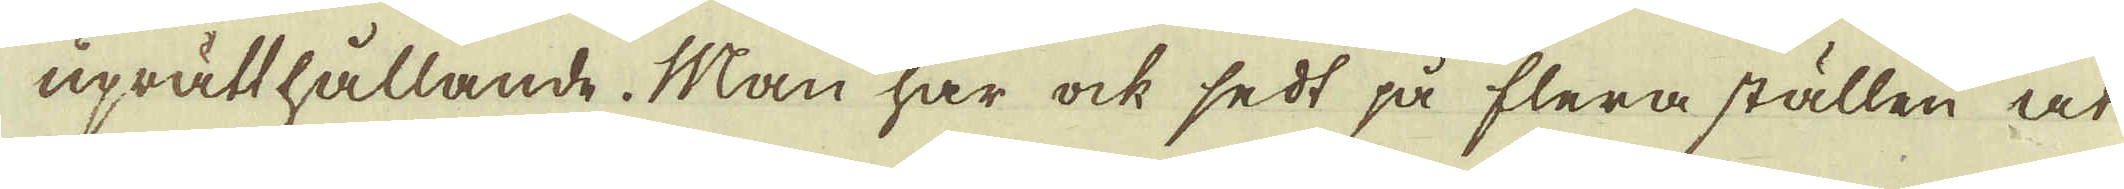uprätthållande. Man har ock sedt på flera ställen at
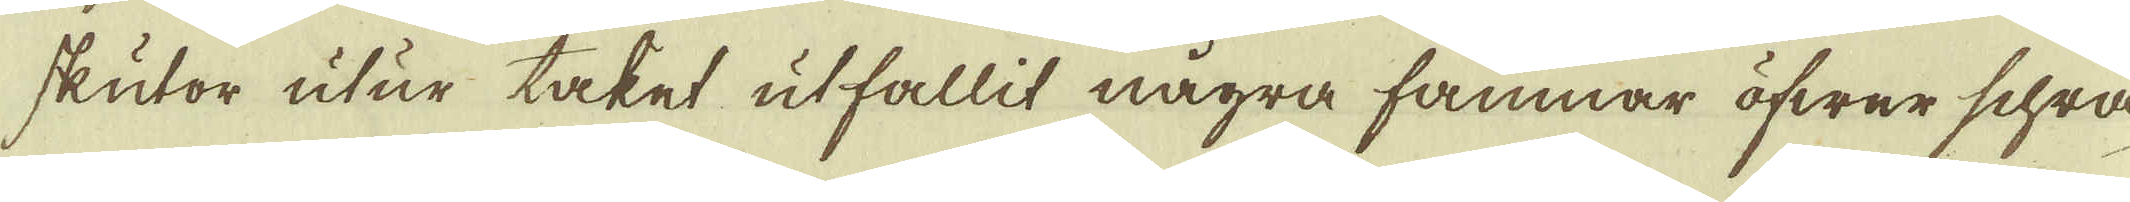skutor utur taket utfallit några famnar öfwer Schra-
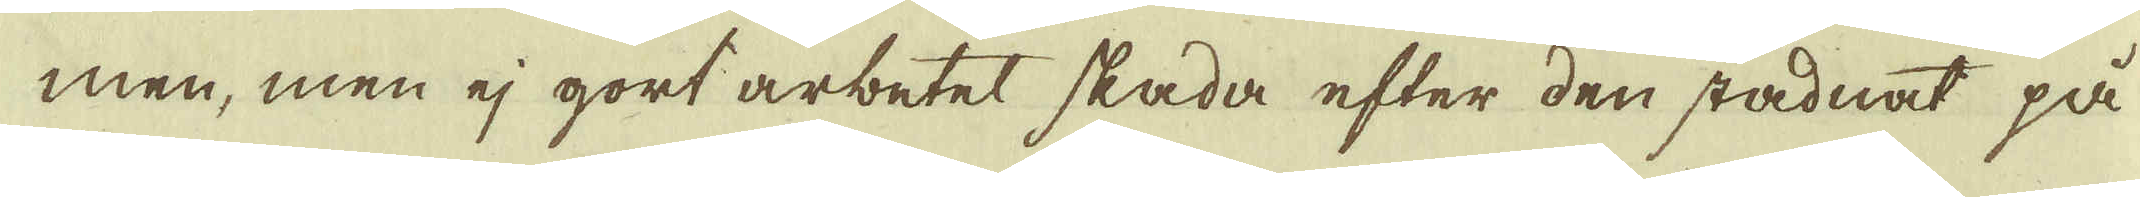men, men ej gort arbetet skada efter den stadnat på
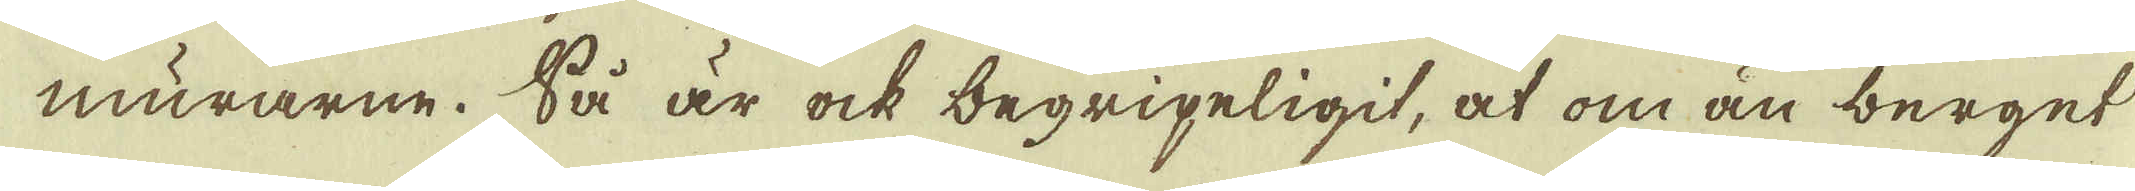murarne. Så är ock begripeligit, at om än berget
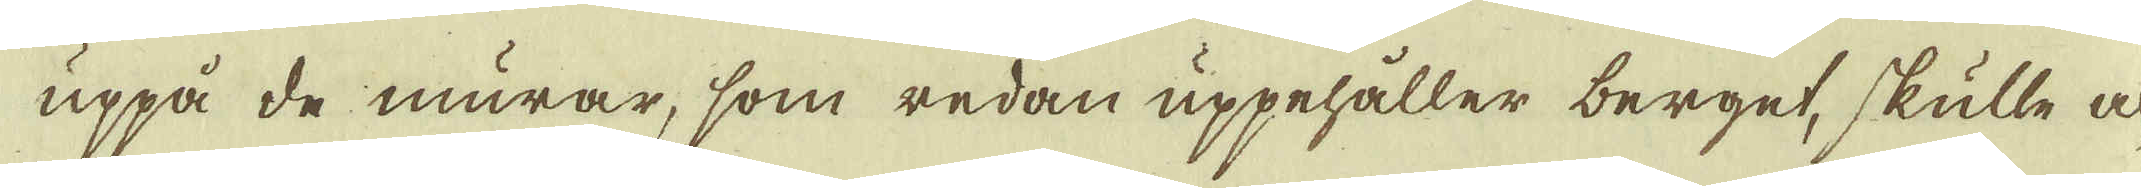uppå de murar, som redan uppehåller berget, skulle
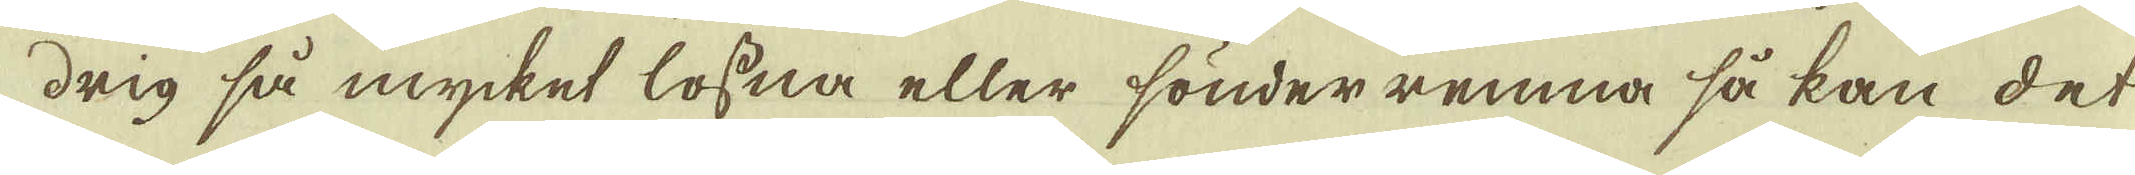drig så mycket lossna eller sönder remna så kan det
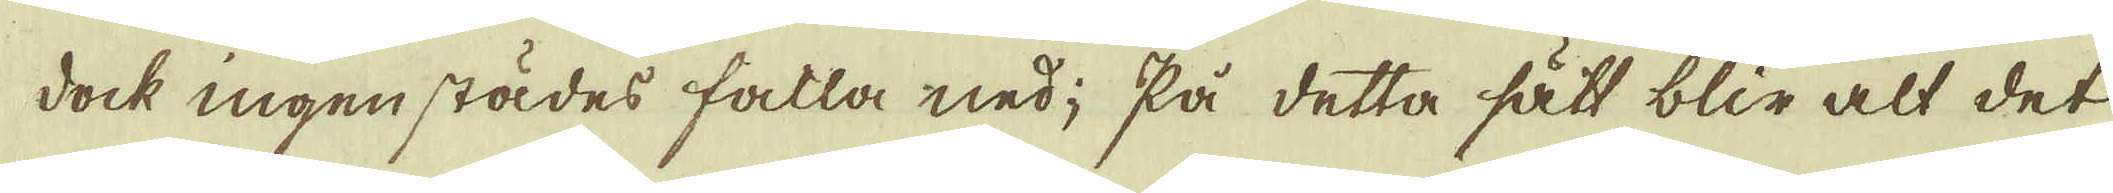doch ingen städes falla ned; På detta sätt blir alt det
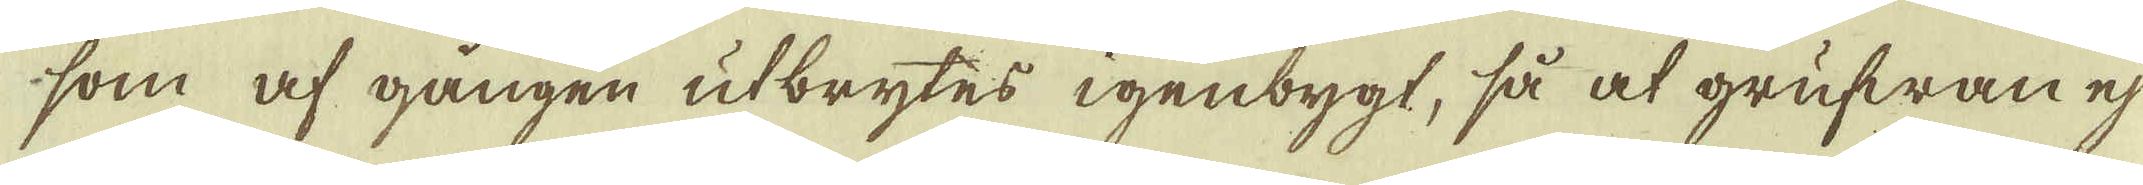som af gången utbrytes igenbygt, så at grufwan ej
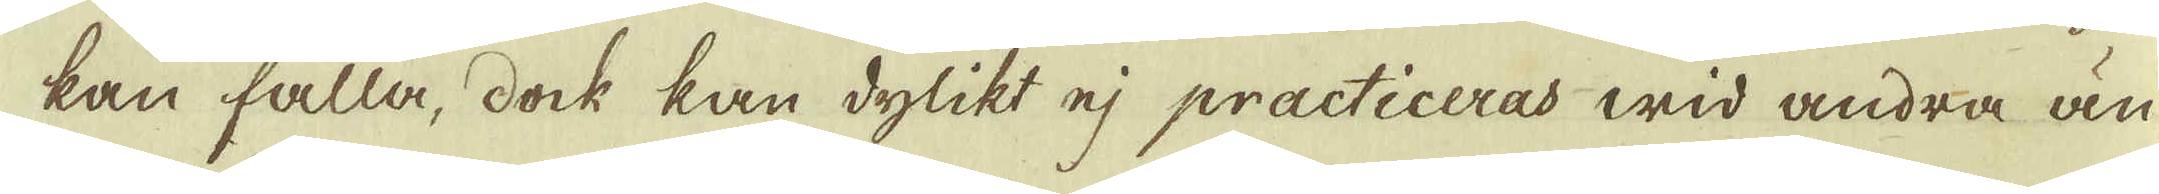kan falla, dock han dylikt ej practiceras wid andra än
